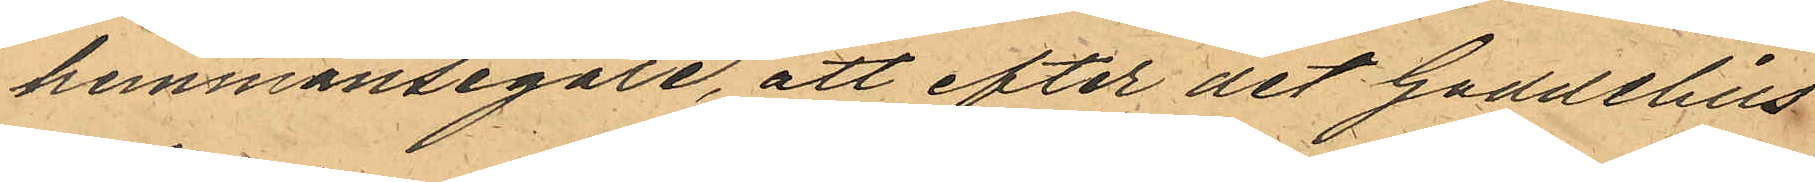hemmansegare, att efter det Gaddelius
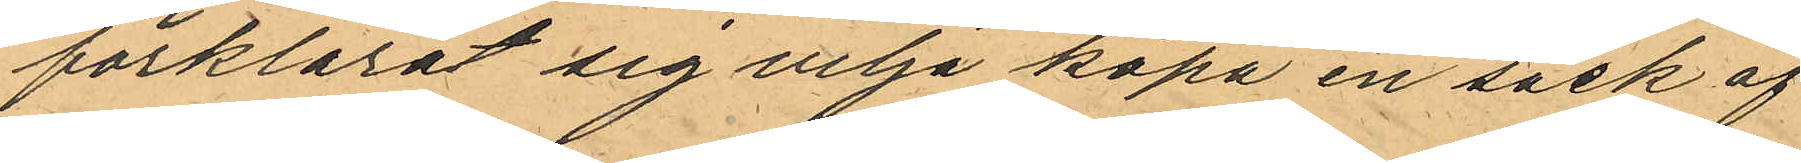förklarat sig vilja köpa en säck af
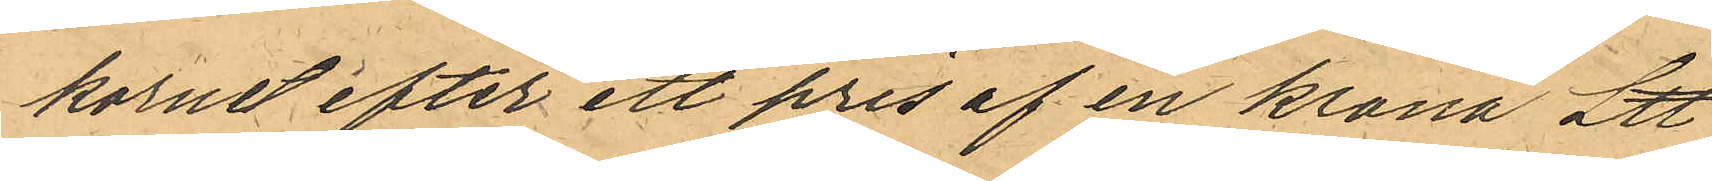kornet efter ett pris af en krona L℔
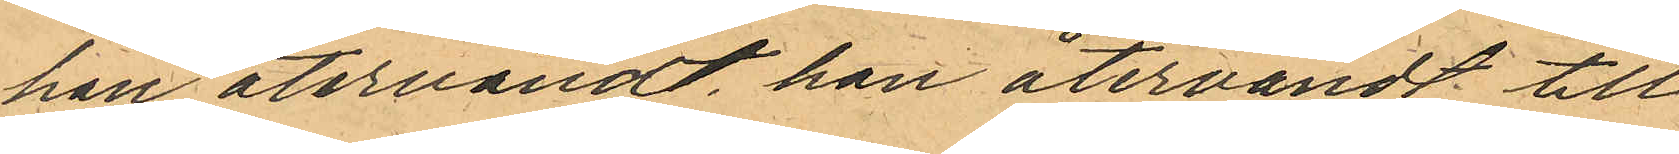han återvändt han återvändt till
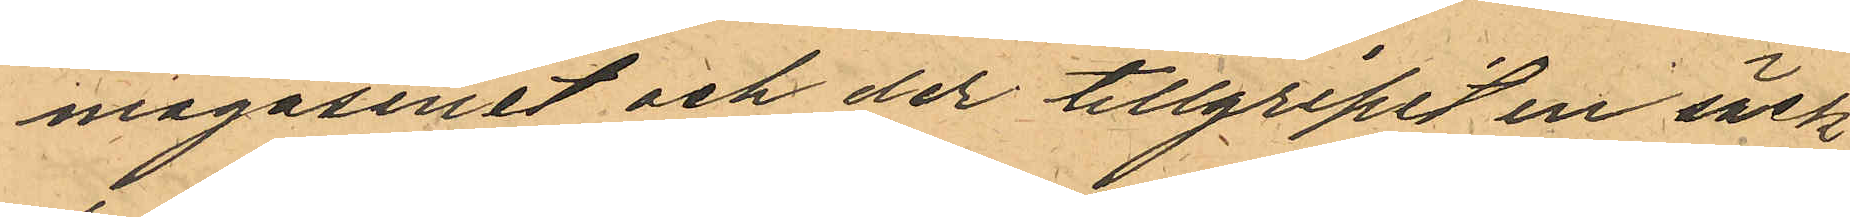magasinet och der tillgripit en säck
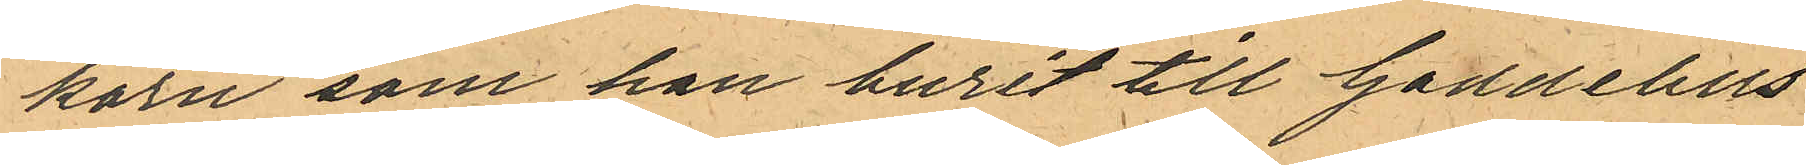korn som han burit till Gaddelius
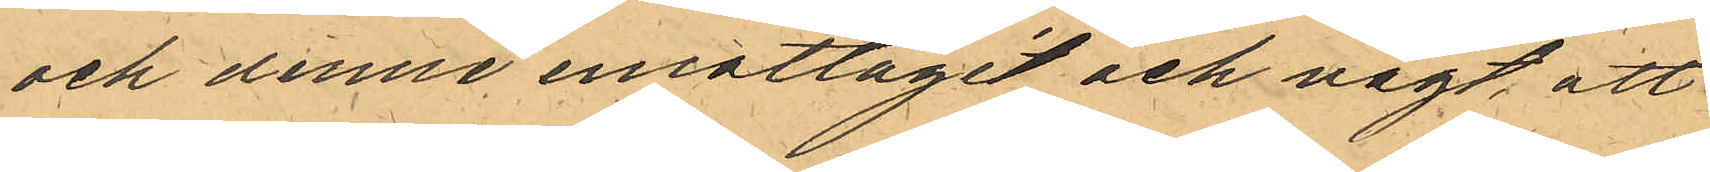och denne emottagit och vägt, att
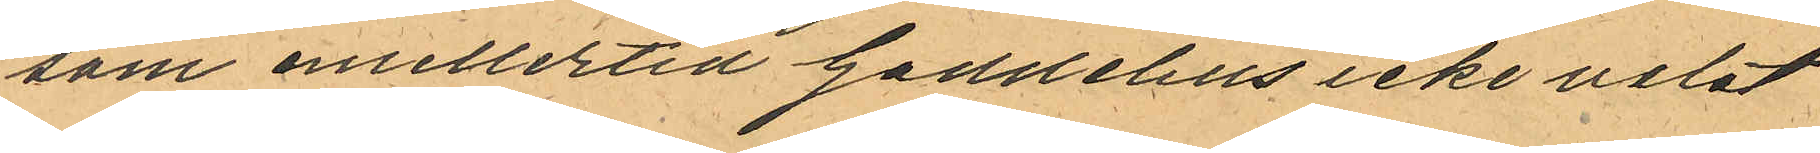som emellertid Gaddelius icke velat
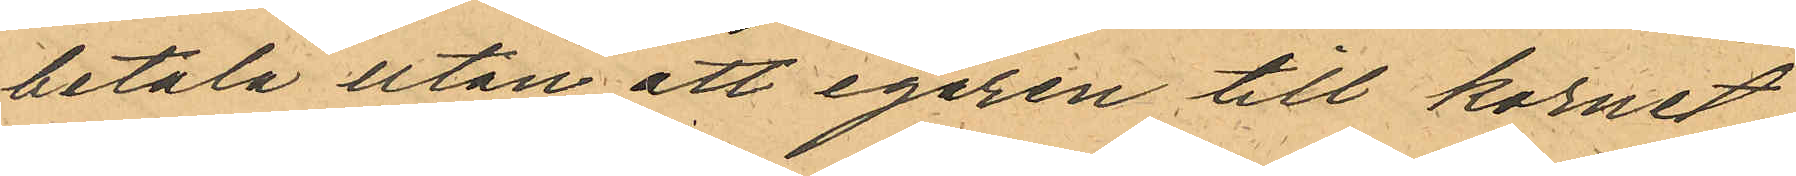betala utan att egaren till kornet
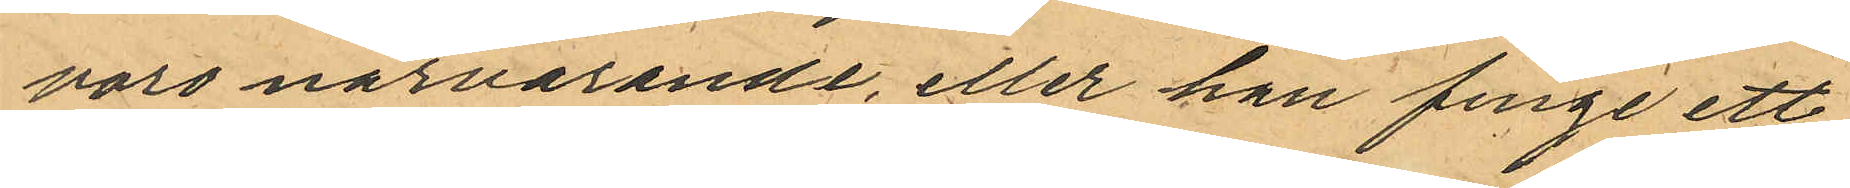voro närvarande, eller han finge ett
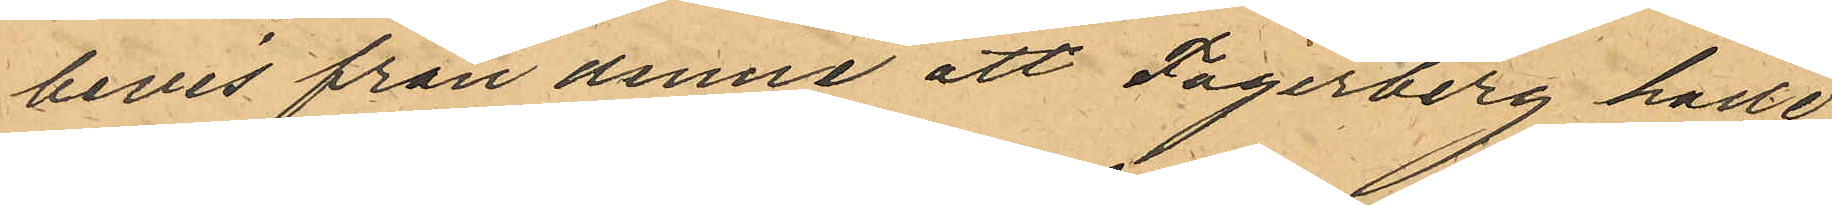bevis från denne att Fagerberg hade
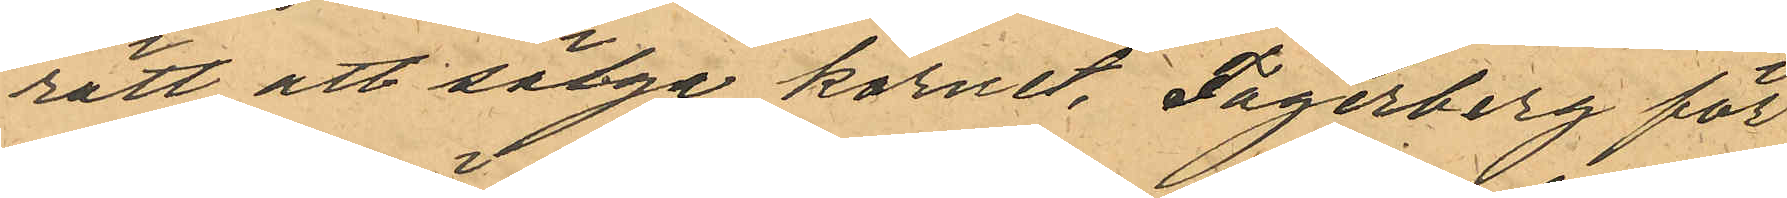rätt att sälga kornet, Fagerberg för
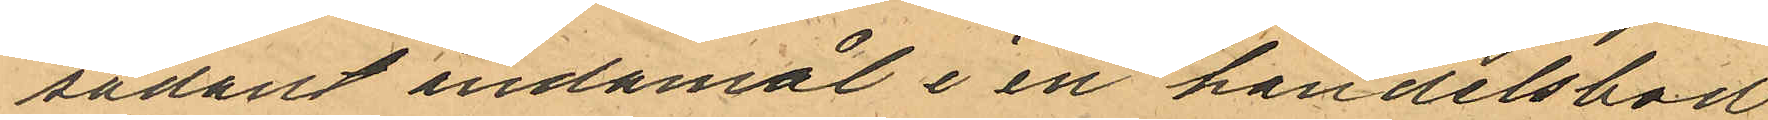sådant ändamål i en handelsbod
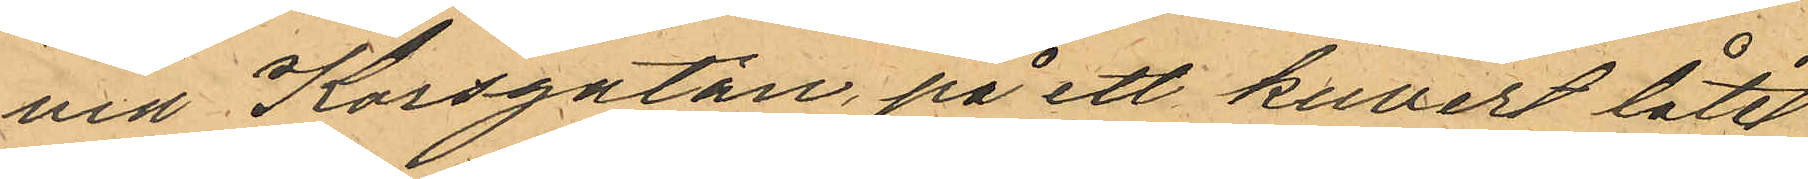vid Korsgatan, på ett kuvert låtit
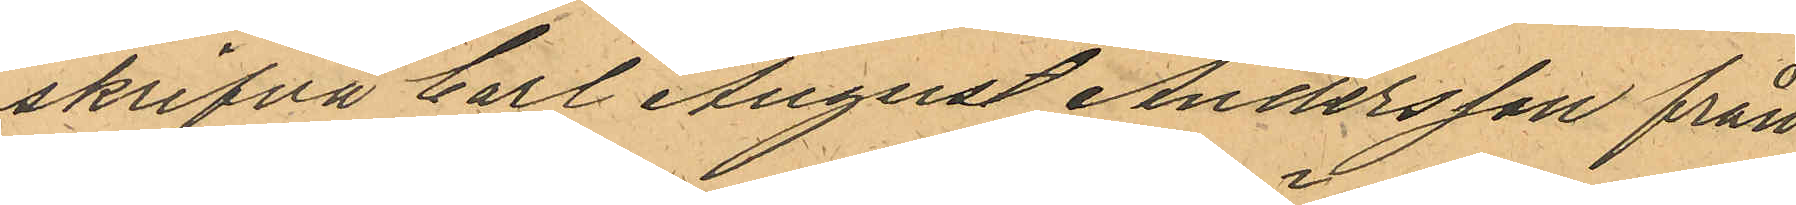skrifva Carl August Andersson från
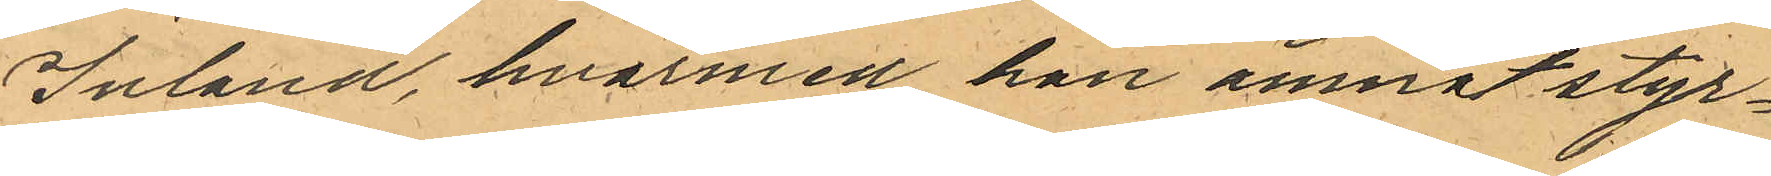Inland, hvarmed han ämnat styr¬
